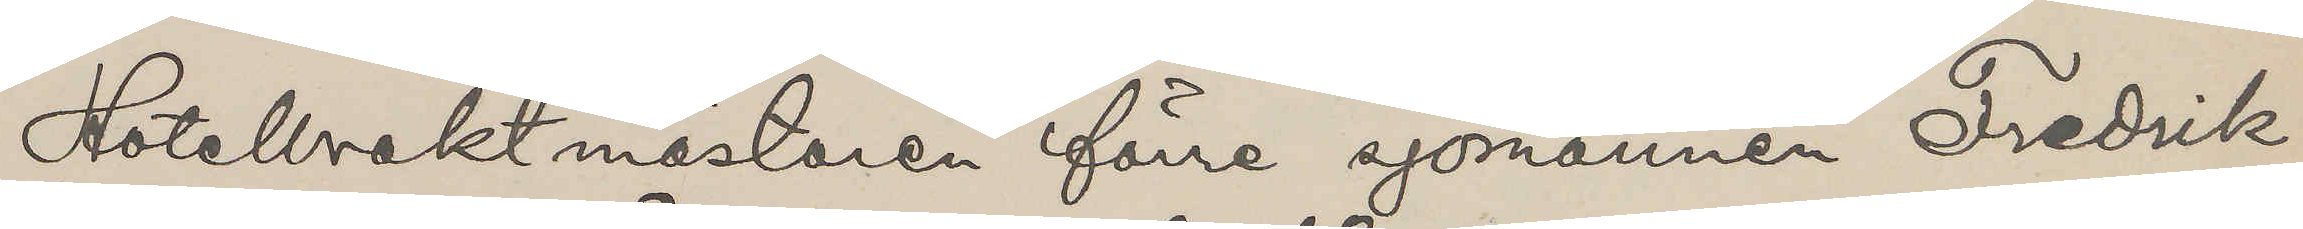Hotellvaktmästaren förre sjömannen Fredrik
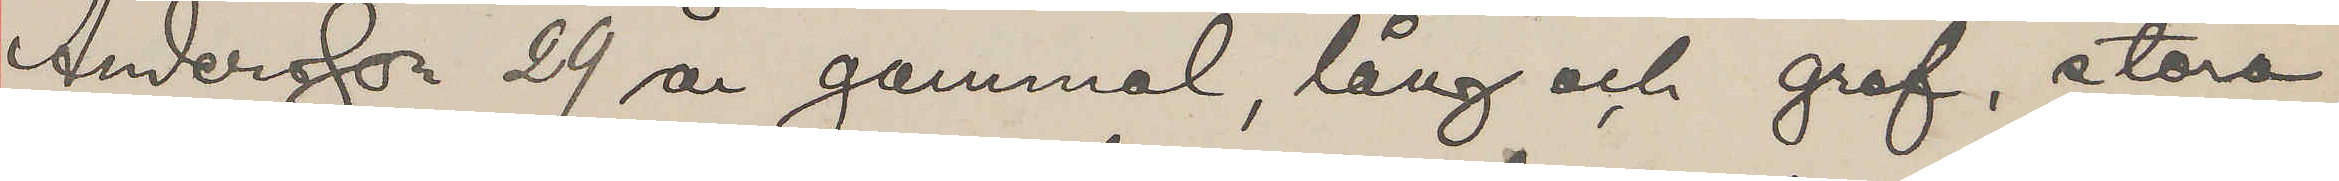Andersson 29 år gammal, lång och grof, stora
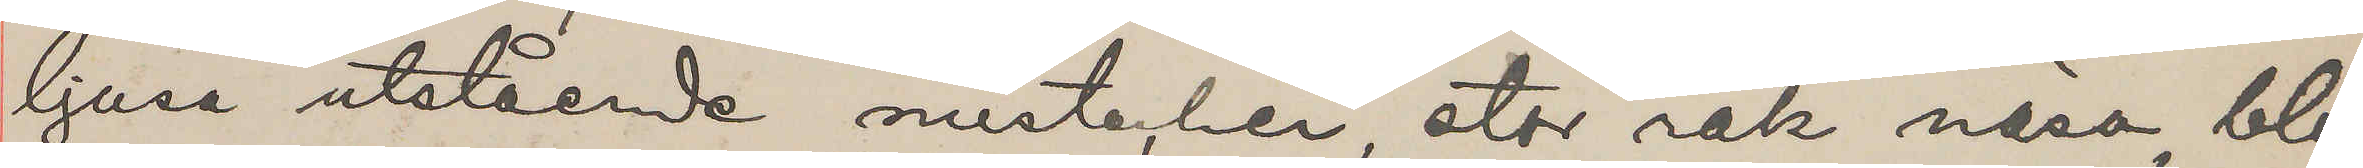ljusa utstående mustacher, stor rak näsa, blå
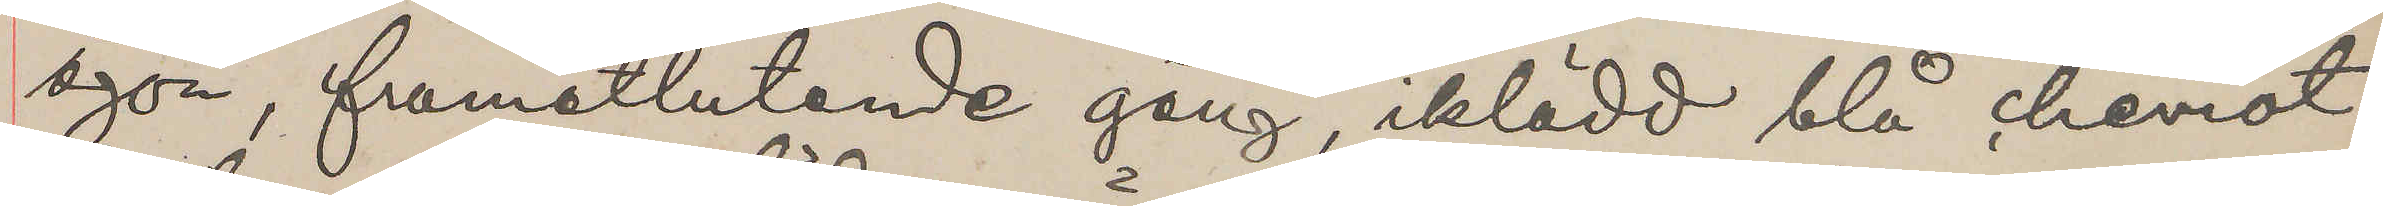ögon, framåtlutande gång, iklädd blå cheviot¬
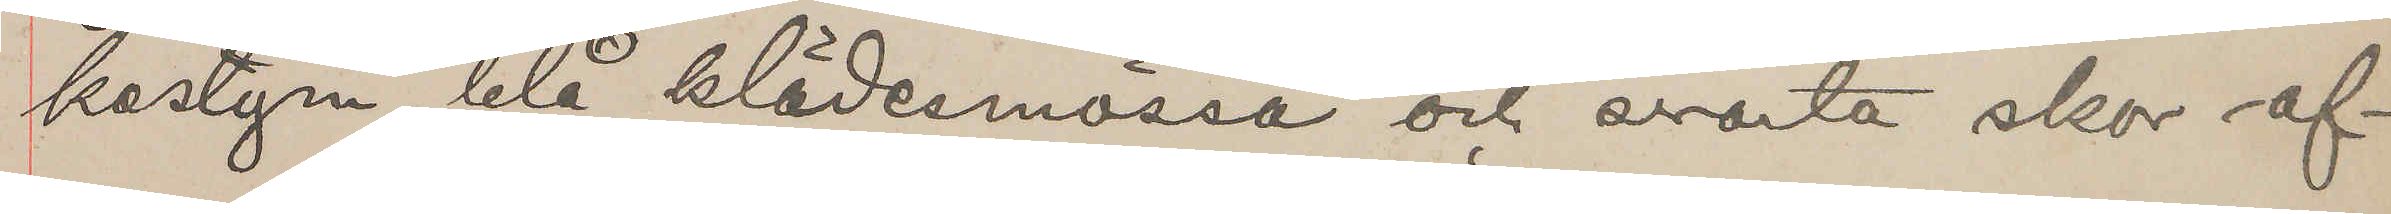kostym, blå klädesmössa och svarta skor af¬
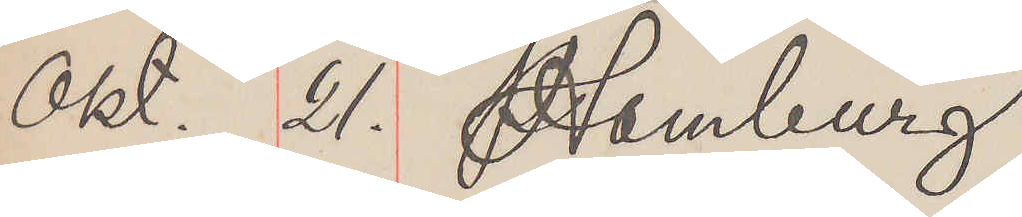Okt. 21. Hamburg
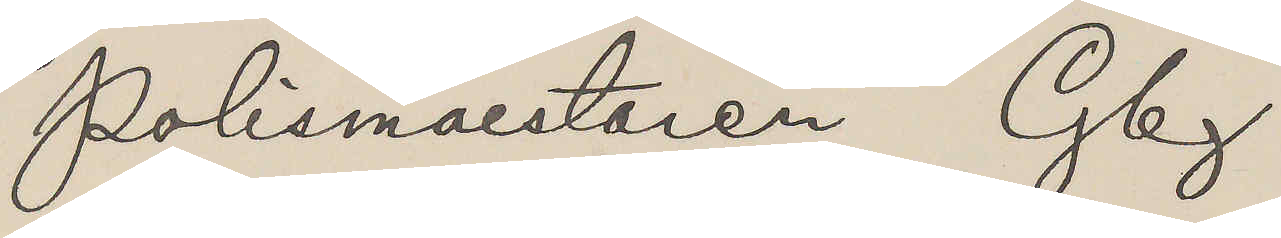Polismäestaren Gbg
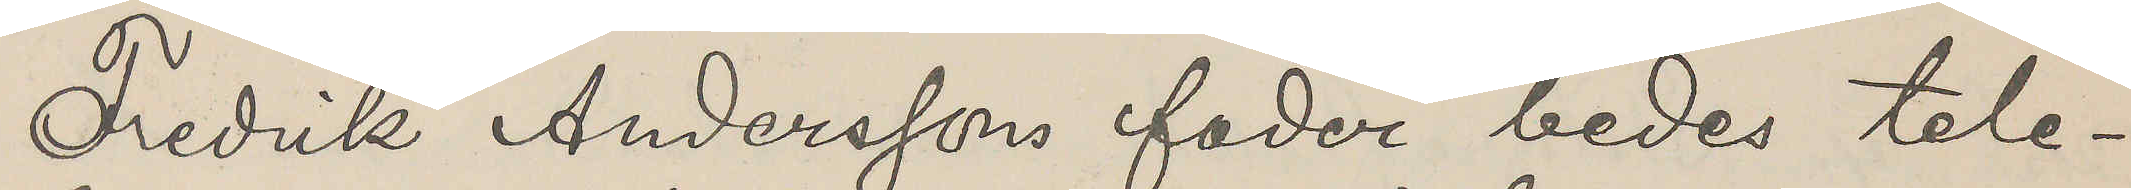Fredrik Anderssons fader bedes tele¬
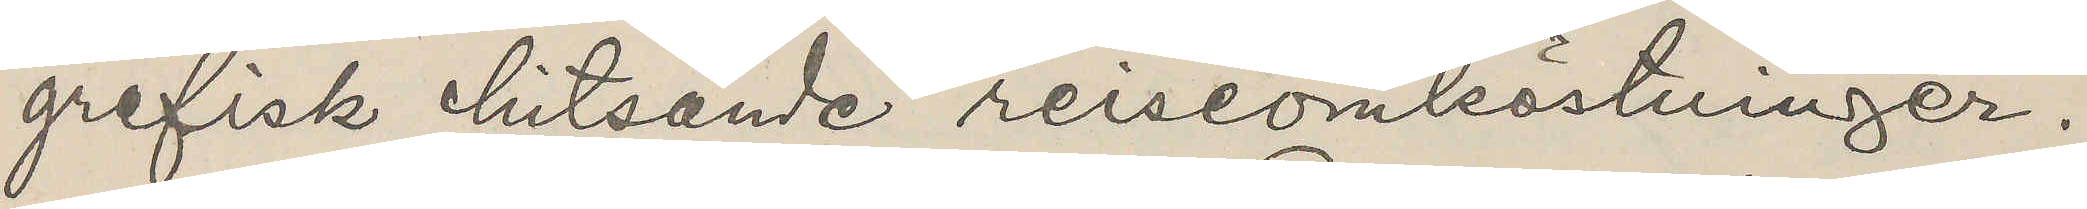grafisk hitsände reiseomköstninger.
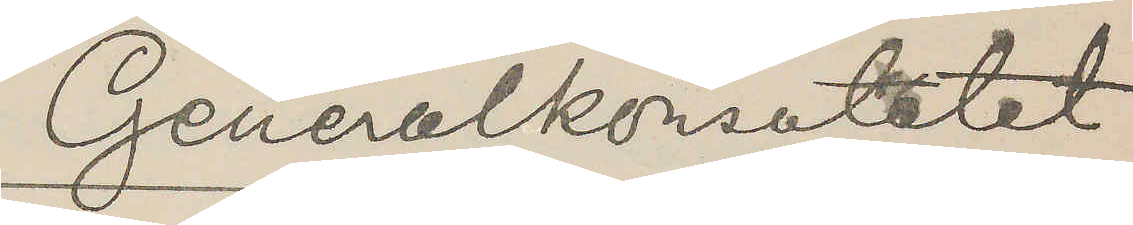Generalkonsulatet
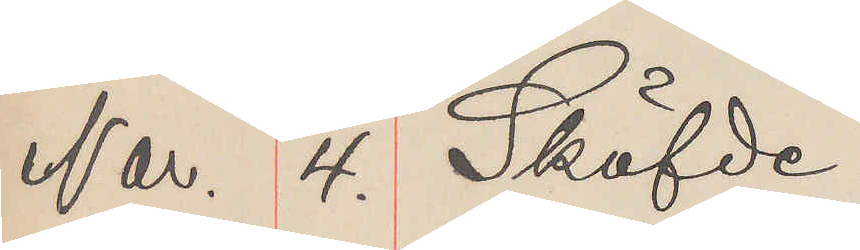Nov. 4. Sköfde.
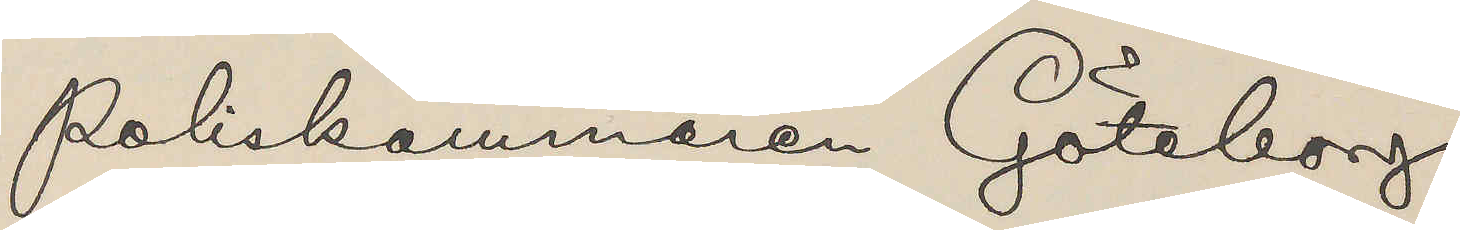Poliskammaren Göteborg
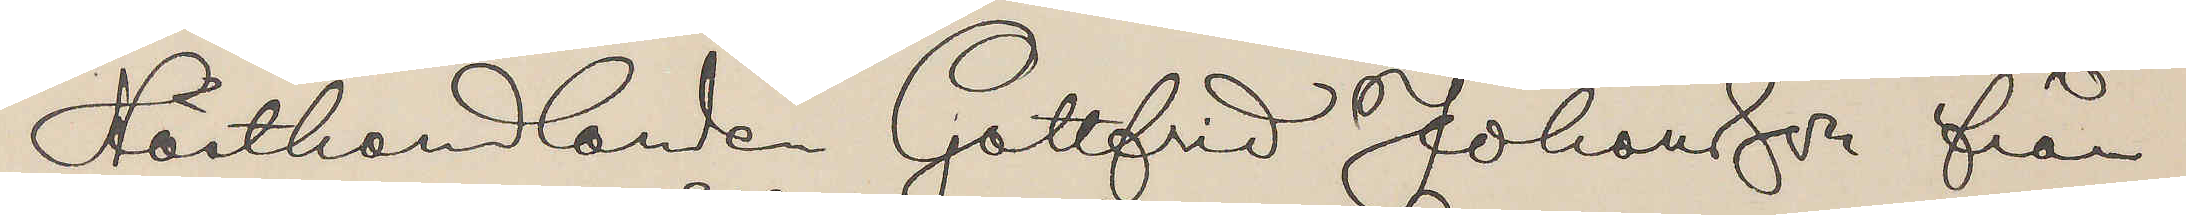Hästhandlanden Gottfrid Johansson från
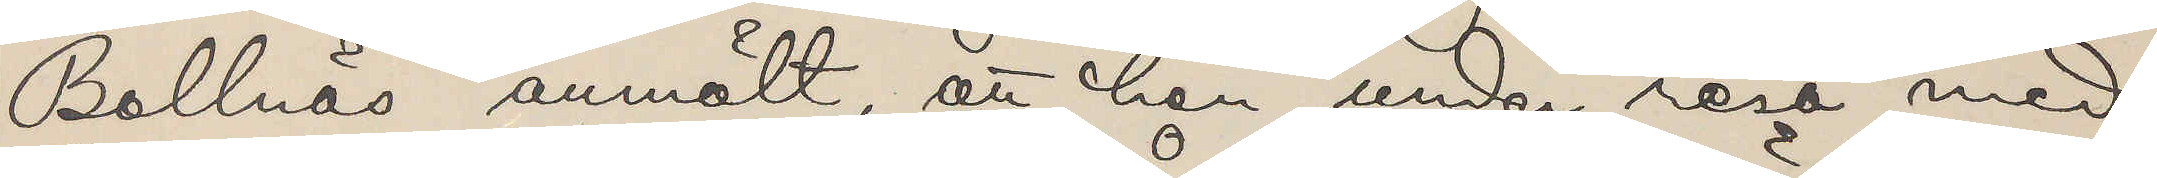Bollnäs anmält, att han under resa med
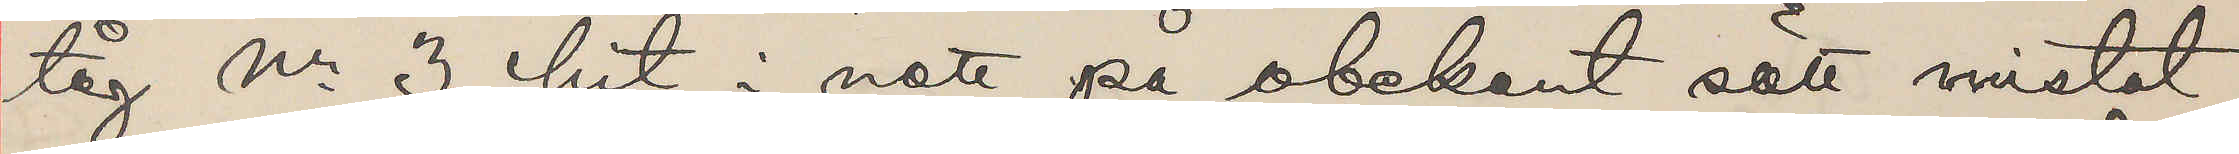tåg Nr 3 hit i natt på obekant sätt mistat
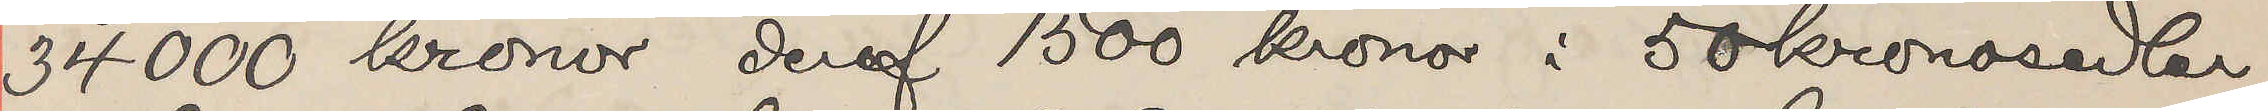34 000 kronor deraf 1500 kronor i 50 kronosedlar,
